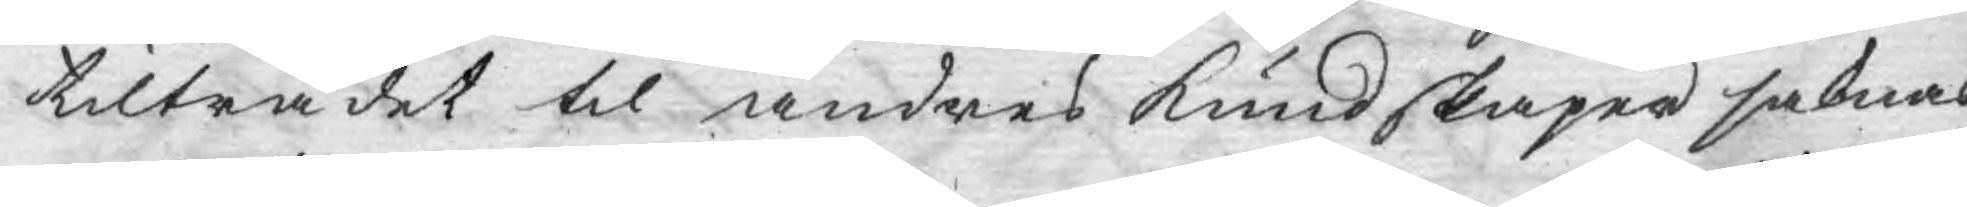tilträdet til andres kundskaper saknas
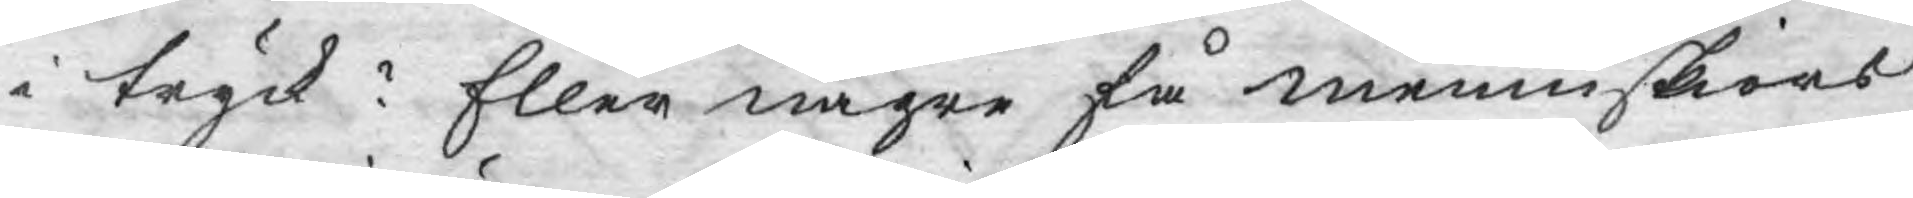i tryck? Eller någre få menniskiors
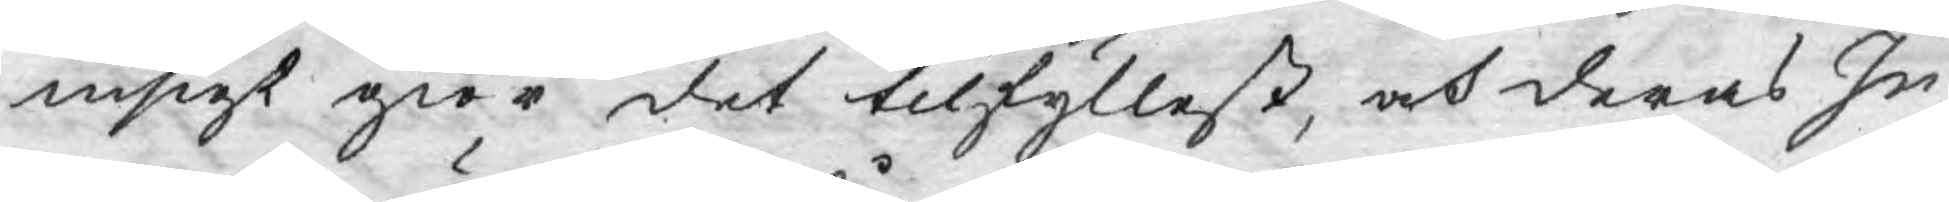insigt giör det tilfyllest, och deras In¬
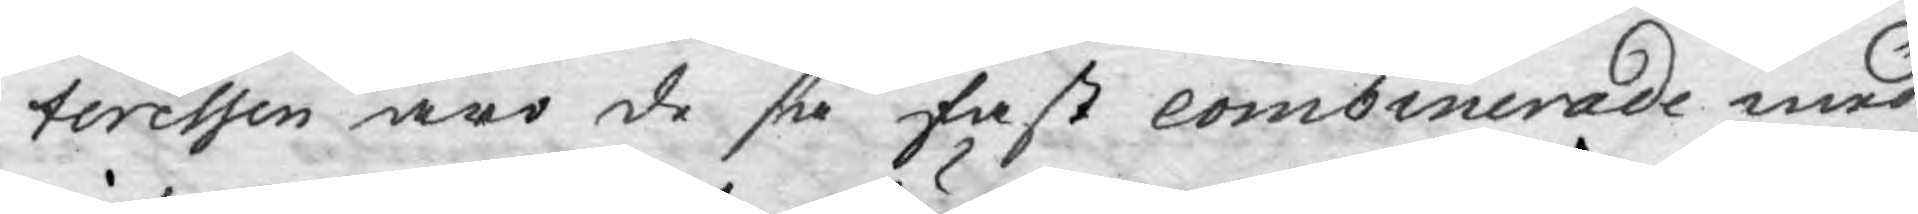teressen äro de så fast combinerade med
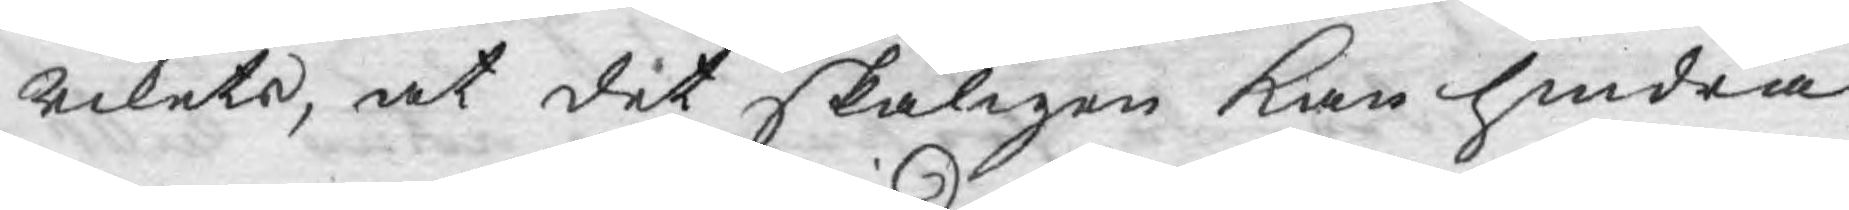rikets, at det skäligen kan hindra
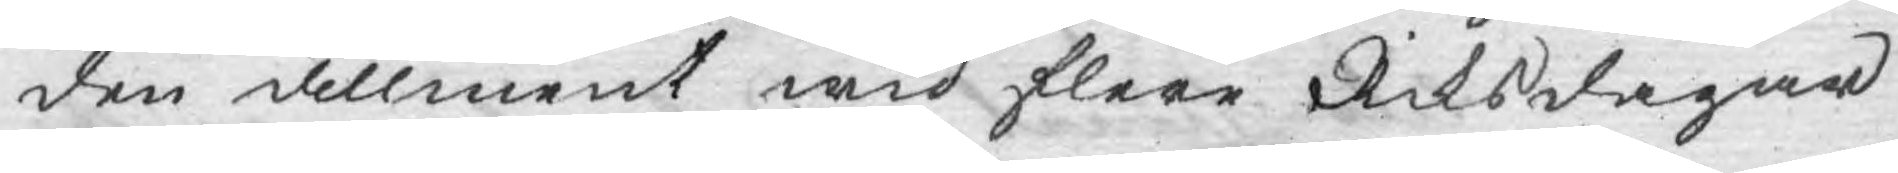den allment wid flere Riksdagar
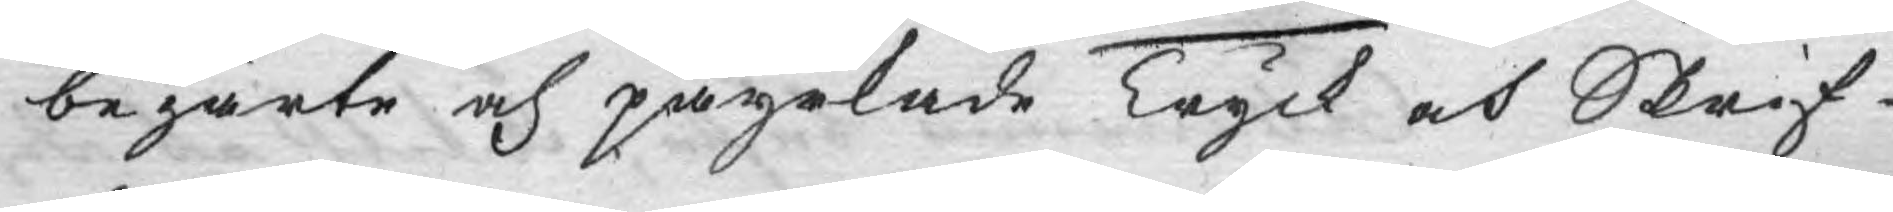begärte och påyrkade Tryck och Skrif¬
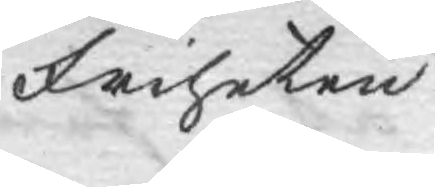Friheten.
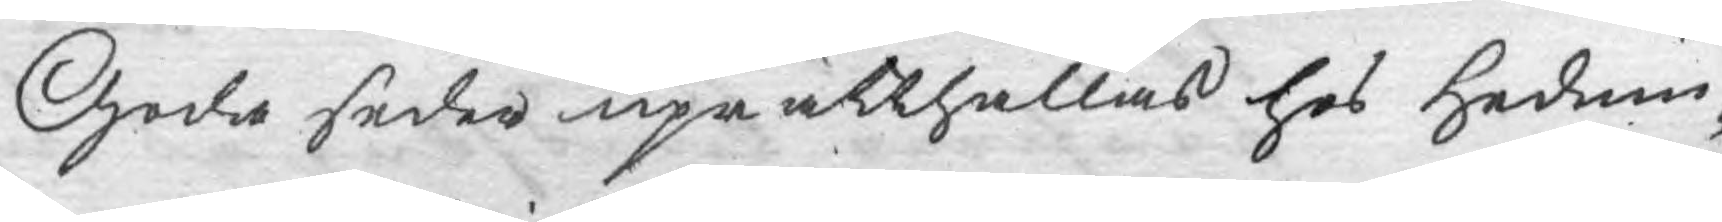Goda seder uprätthållas hos Hednin¬
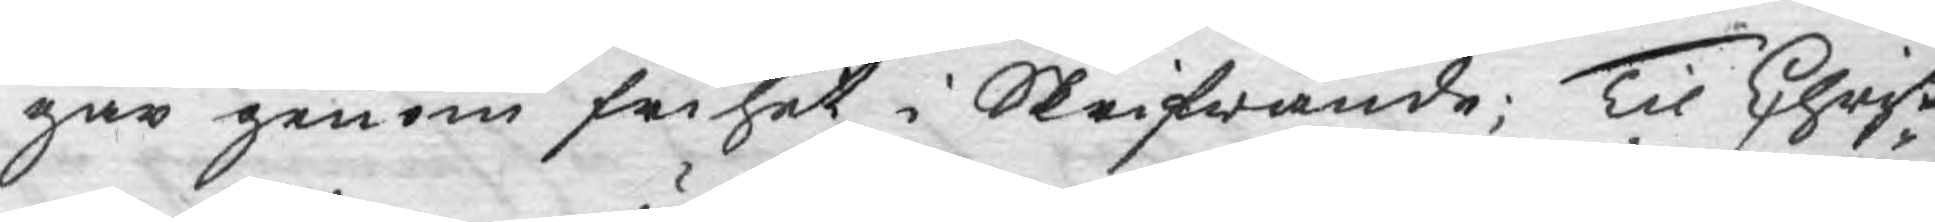gar genom frihet i Skrifwande; Til Christ¬
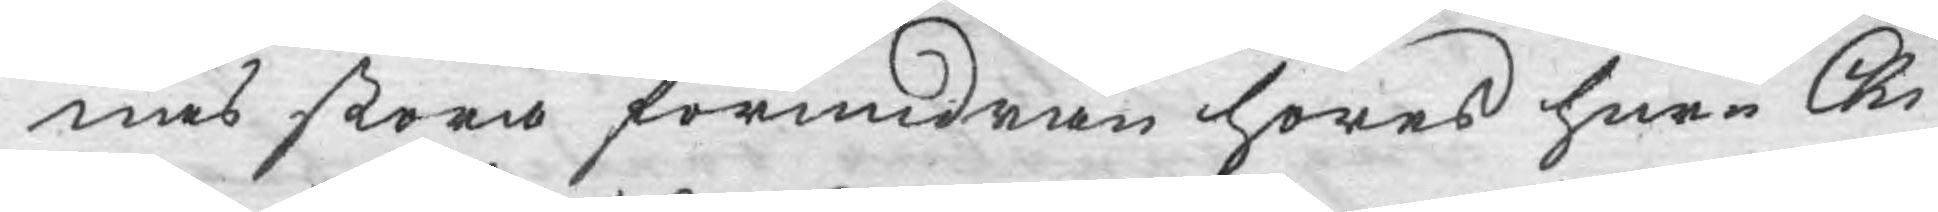nas stora förundran höres huru Chi¬
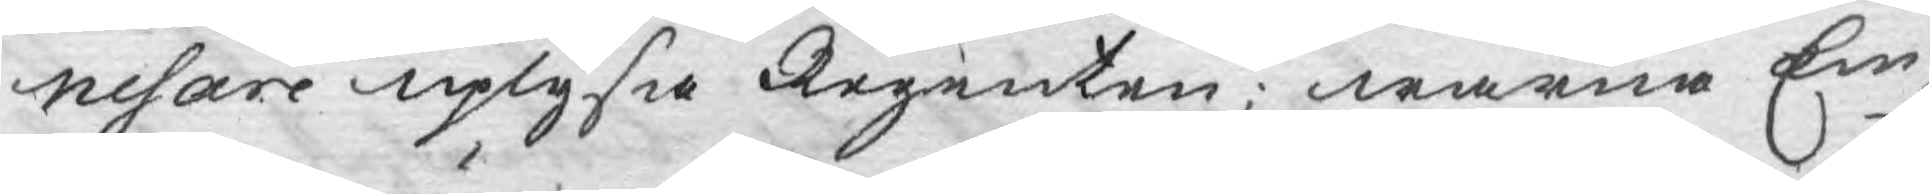nesare uplysa Regenten; warna Em¬
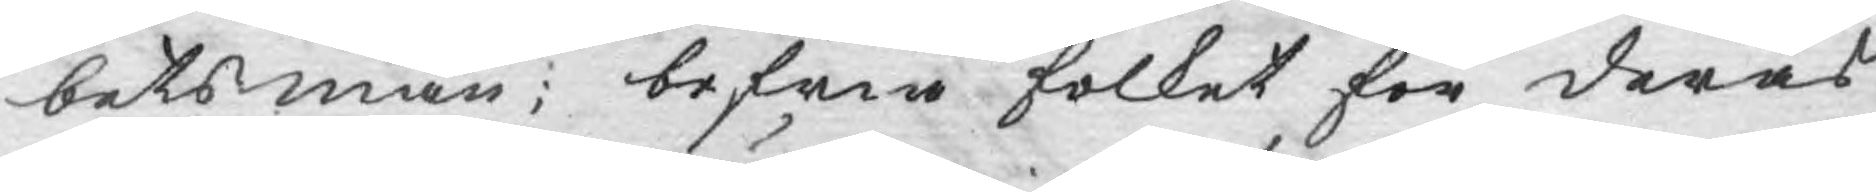betsmän; befria folket för deras
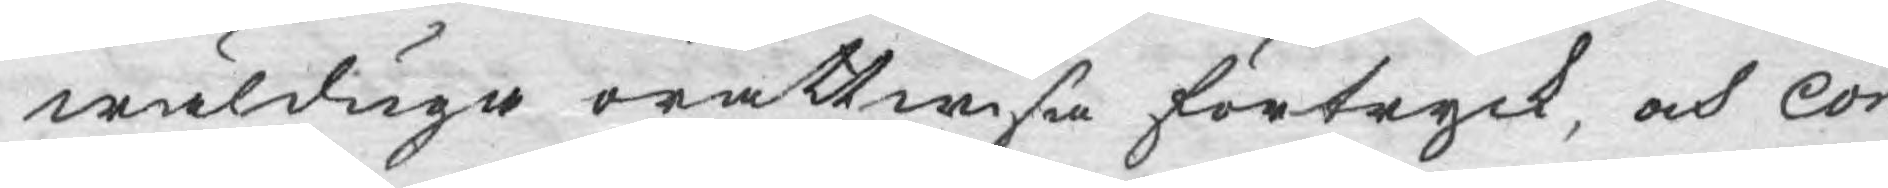wälduga orättwisa förtryck, och Con¬
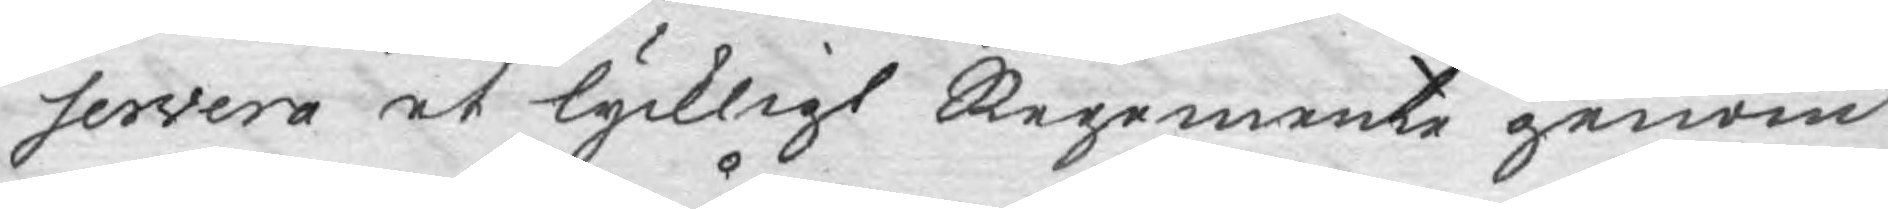servera et lyckligt Regemente genom
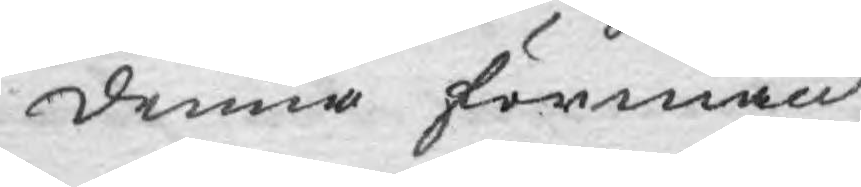denna förmån.
